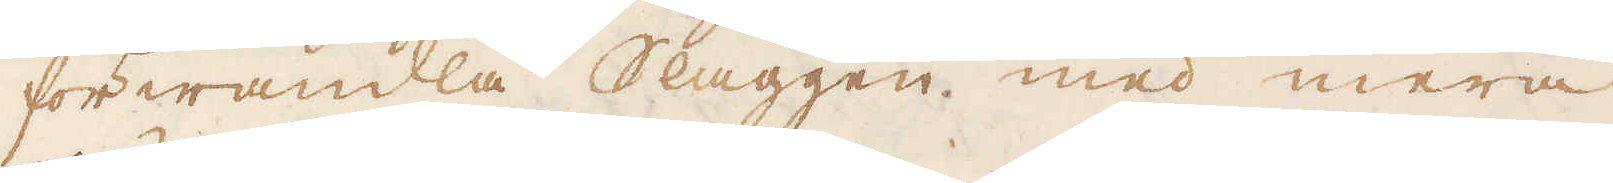förwandla Slaggen med mera
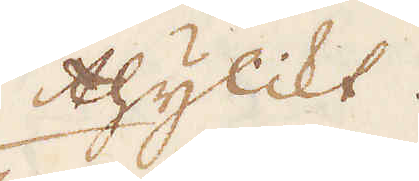thylikt.
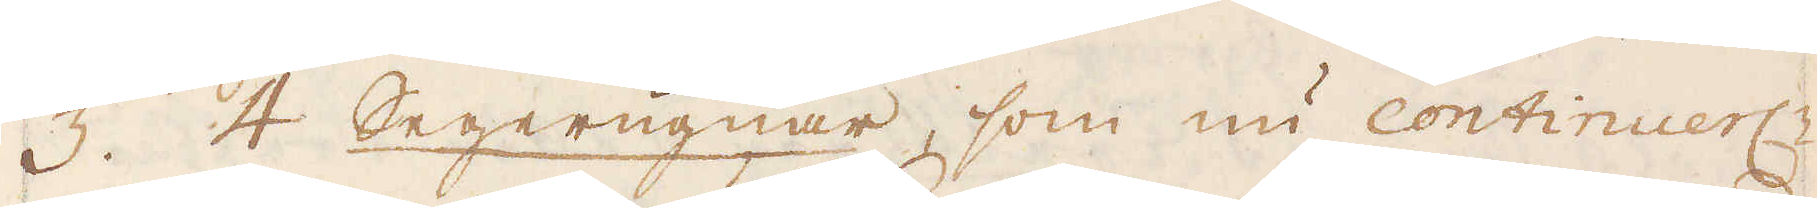3. 4 Segerugnar, som nu continuerl:n
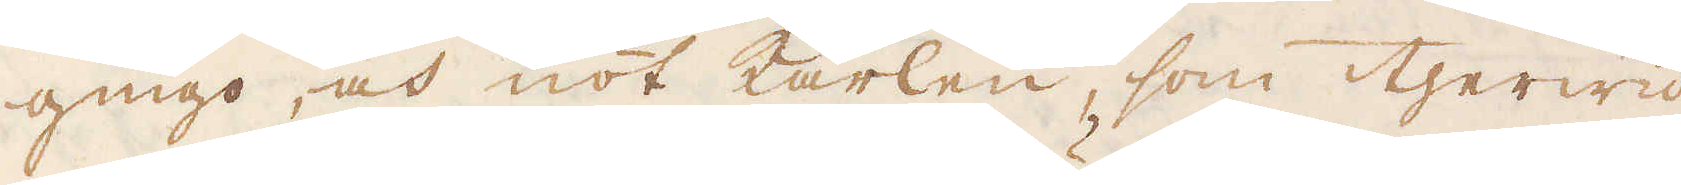gingo, och nöt karlen, som therwid
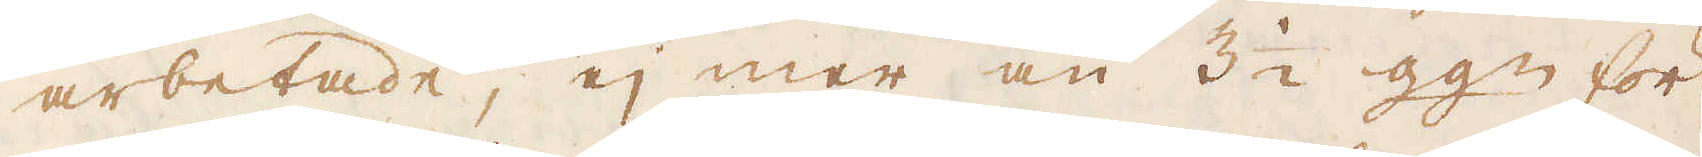arbetade, ej mer än 3 1/2 gg:n för
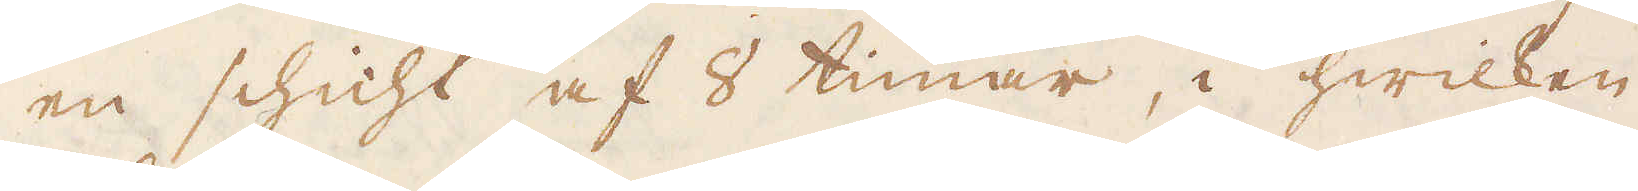en schicht af 8 timar, i hwilken
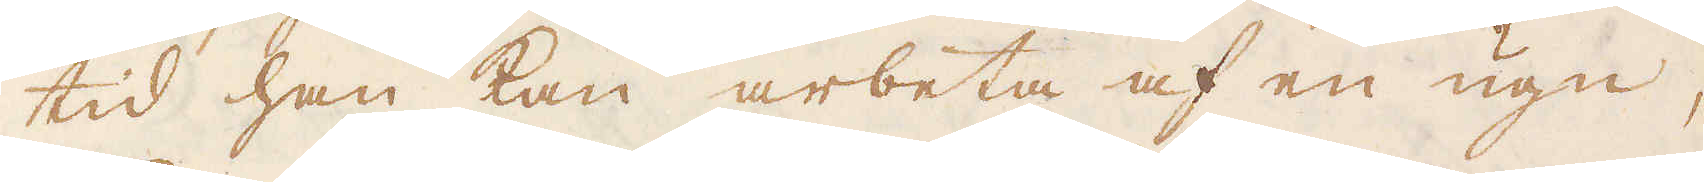tid han kan arbeta af en ugn,
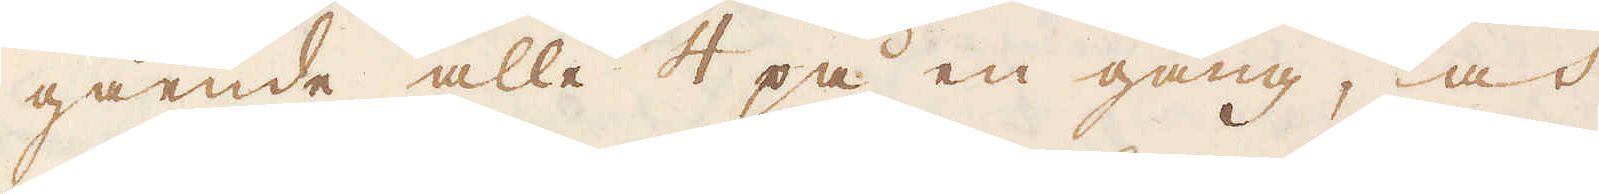gående alle 4 på en gång, och
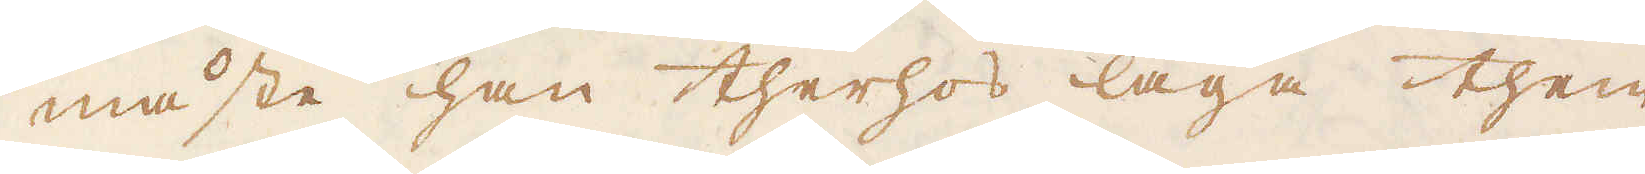måste han therhos laga them
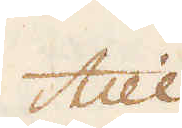till.
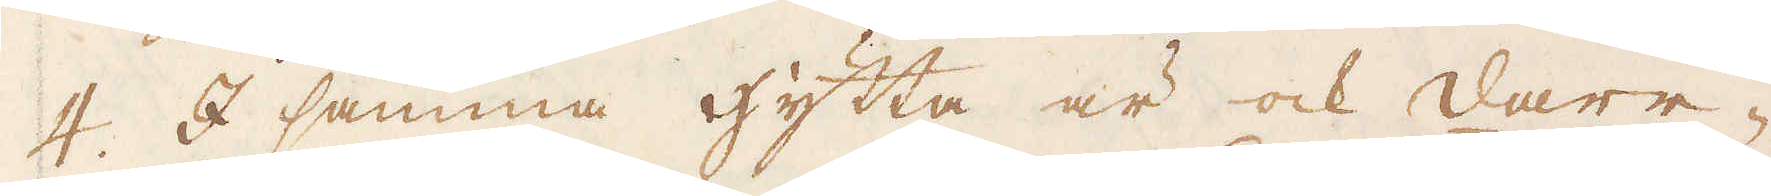4. I samma hytta är ock darr-
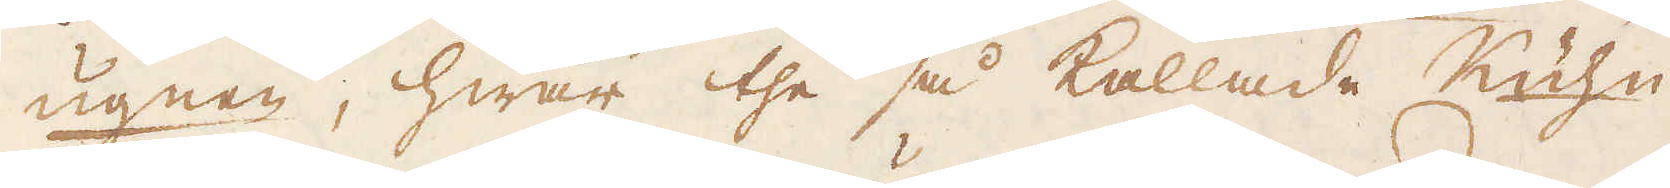ugnen, hwar the så kallade Kühn-
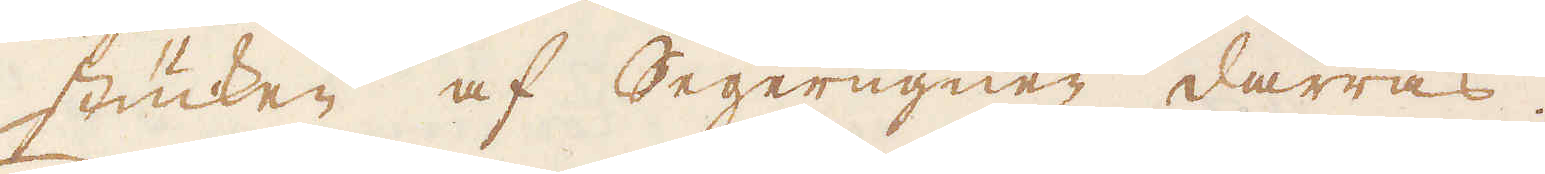stücken af Segerugnen darras.
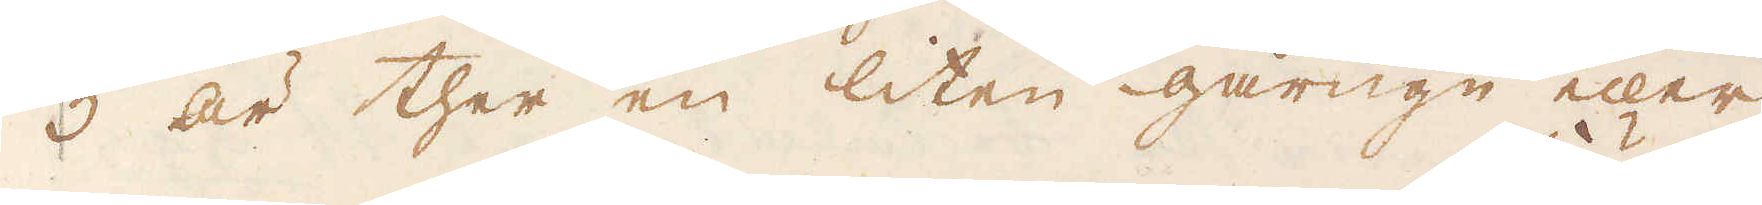5 är ther en liten gårugn eller
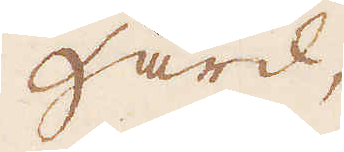Härd,
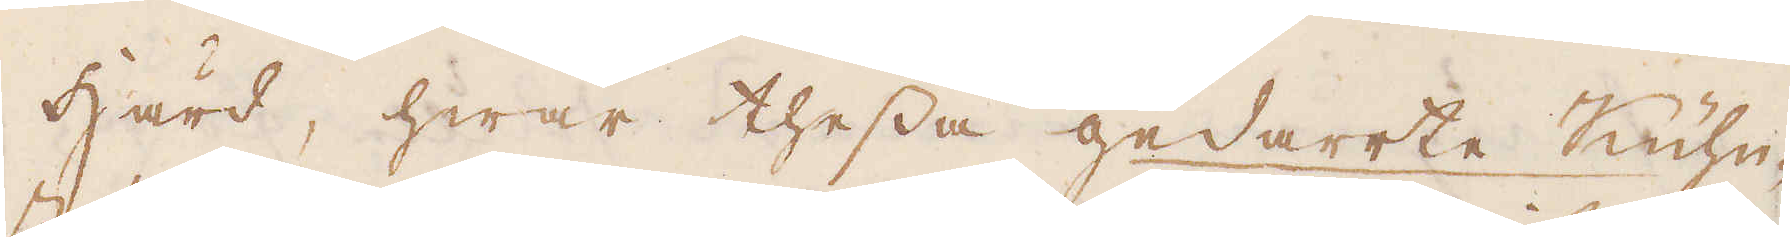Härd, hwar thessa gedarrte Kühn-
